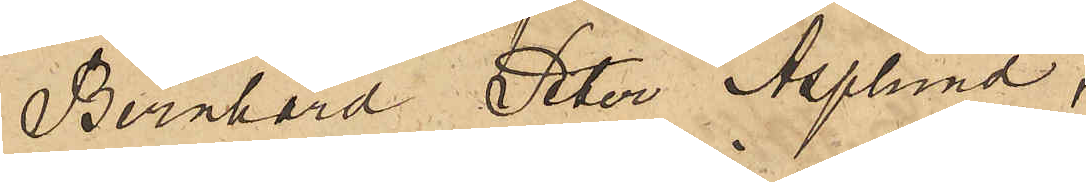Bernhard Peter Asplund,
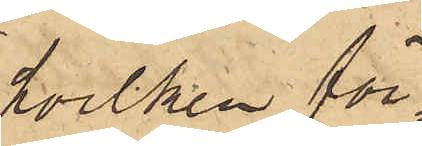hvilken för¬
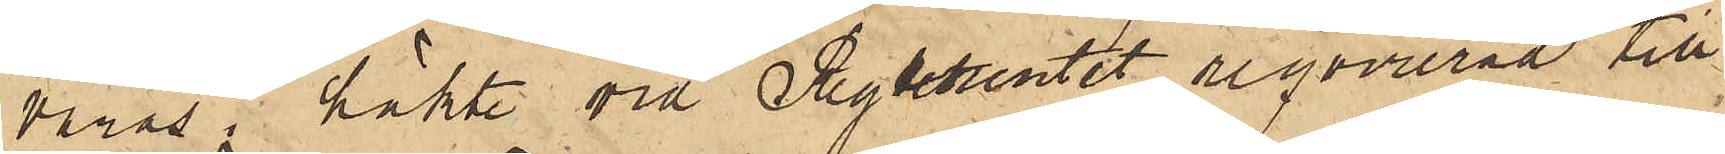varas i  häkte vid Regementet, reqvirerad till
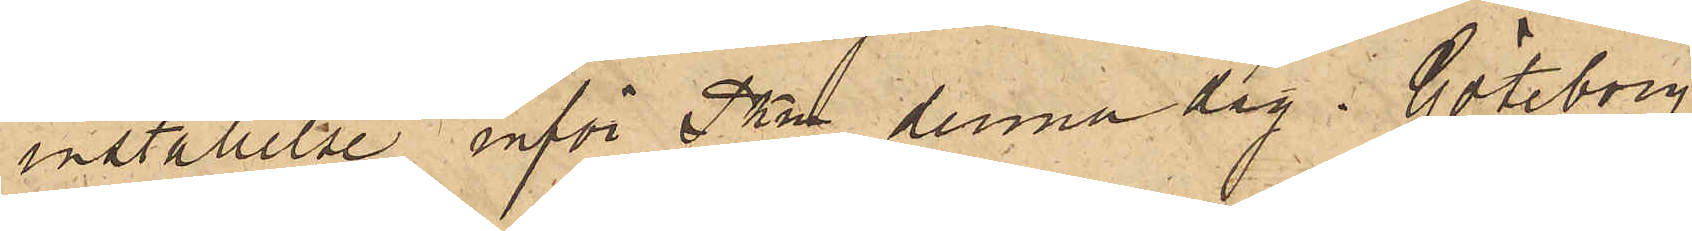inställelse inför Pkn denna dag.  Göteborg
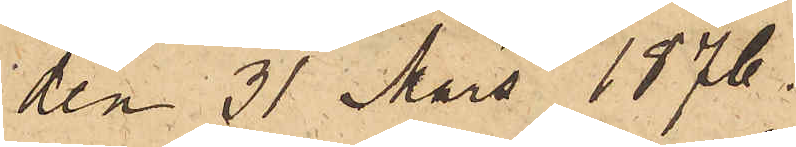den 31 Mars 1876.
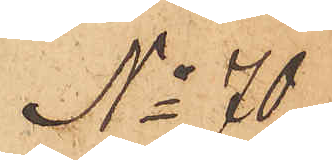No 70
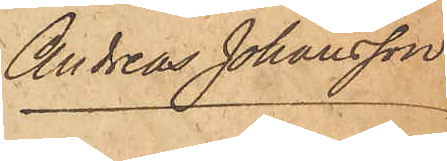Andreas Johansson
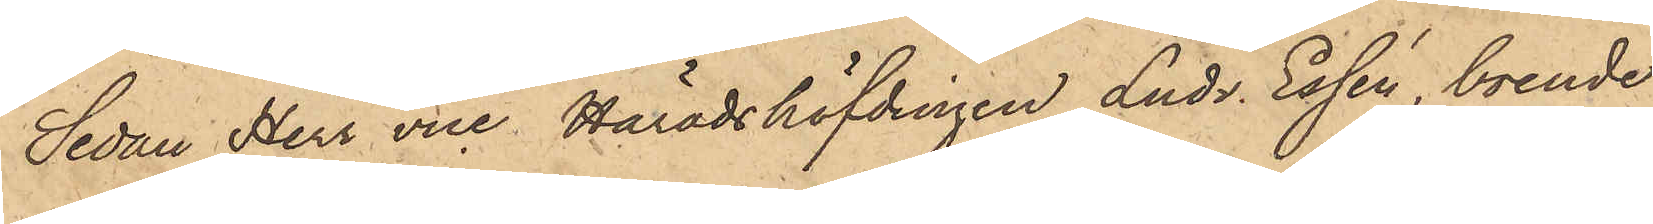Sedan Herr vice Häradshöfdingen Ludv. Essén, boende
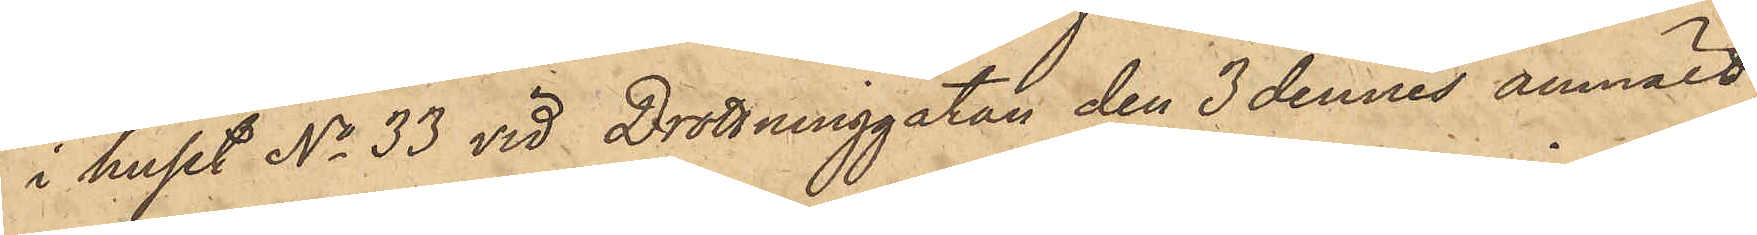i huset No 33 vid Drottninggatan den 3 dennes anmält,
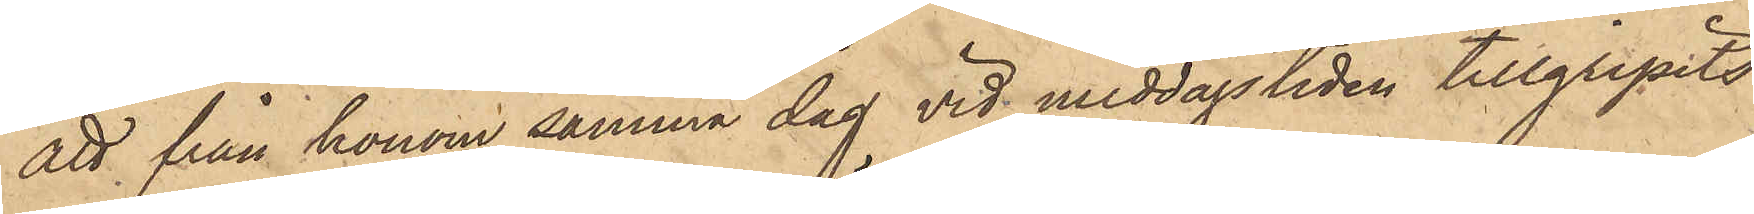att från honom samma dag vid middagstiden tillgripits
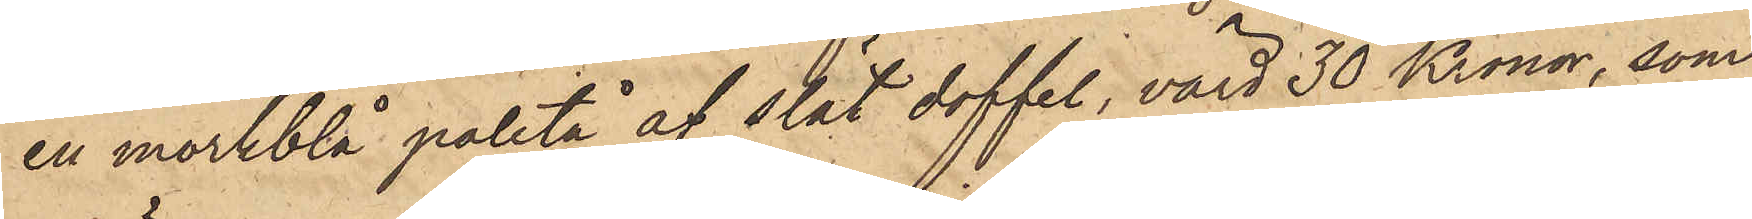en mörkblå paletå af slät doffel, värd 30 Kronor, som
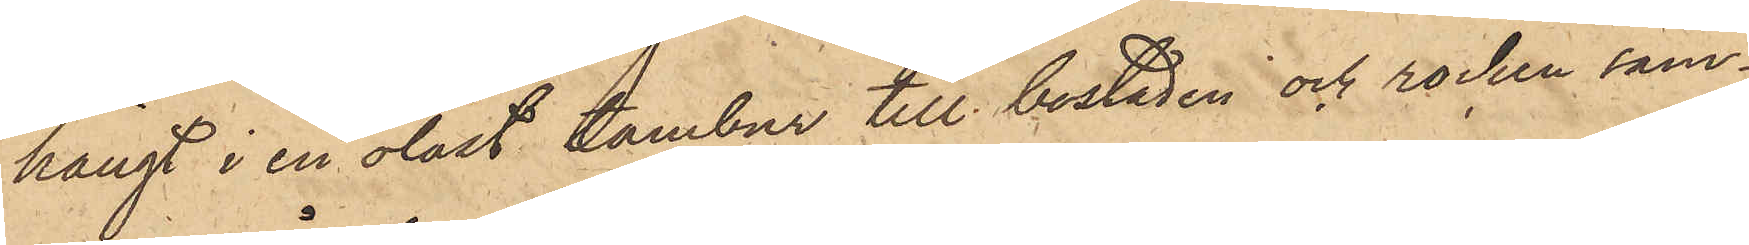hängt i en olåst tambur till bostaden och rocken sam¬
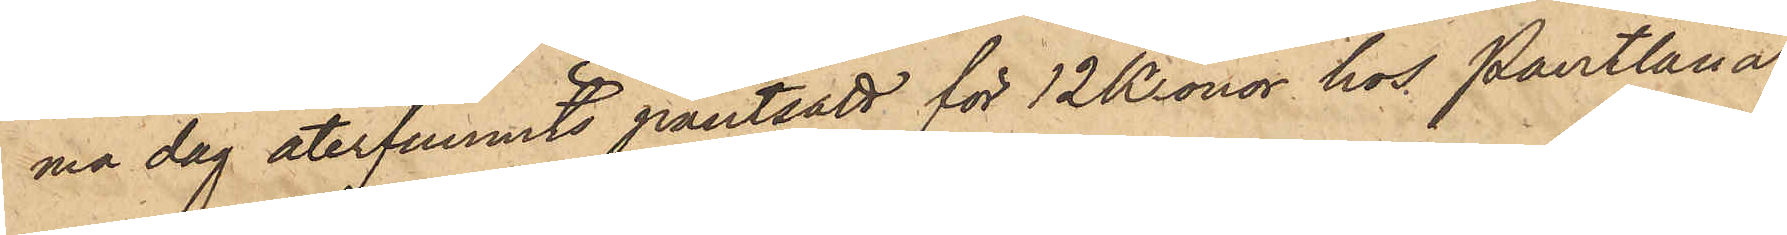ma dag återfunnits pantsatt för 12 Kronor hos Pantlåna¬
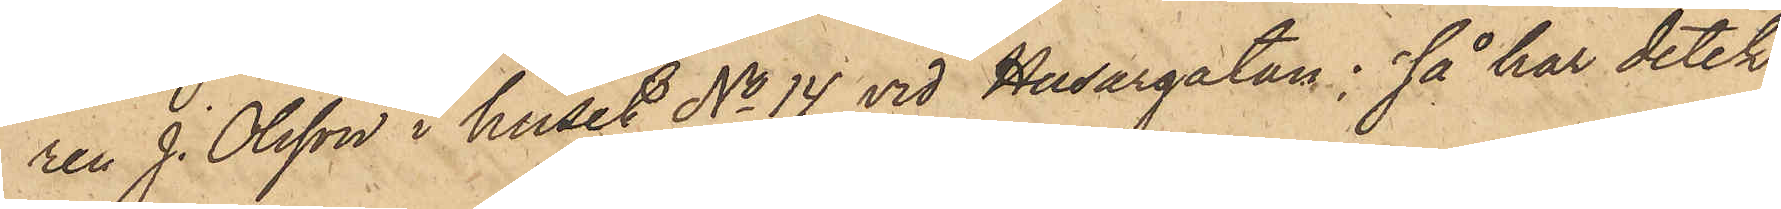ren J. Olsson i huset No 14 vid Husargatan, så har detek¬
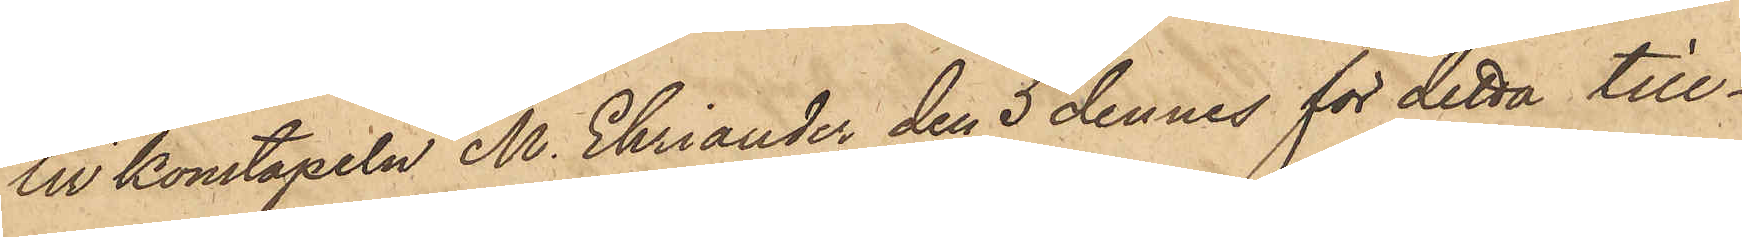tivkonstapeln M. Ehriander den 5 dennes för detta till¬
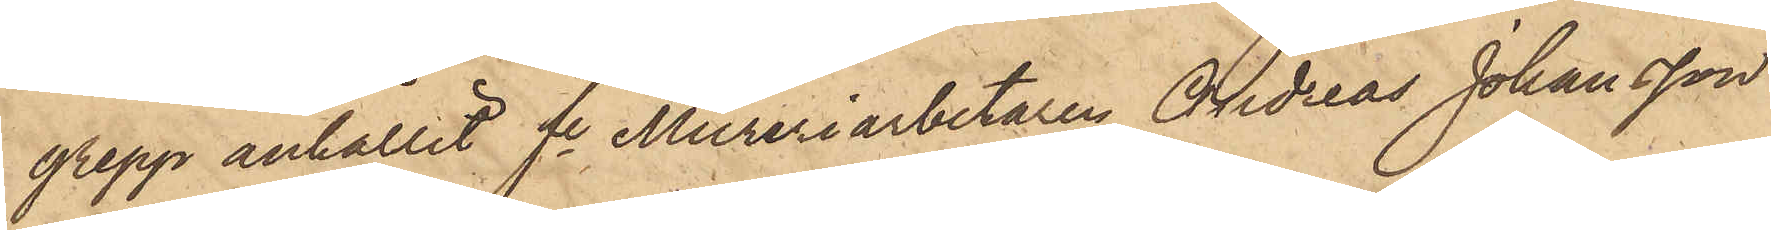grepp anhållit fe Mureriarbetaren Andreas Johansson
